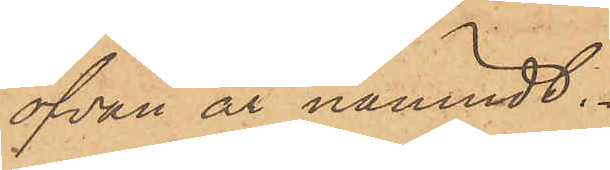ofvan är nämndt.
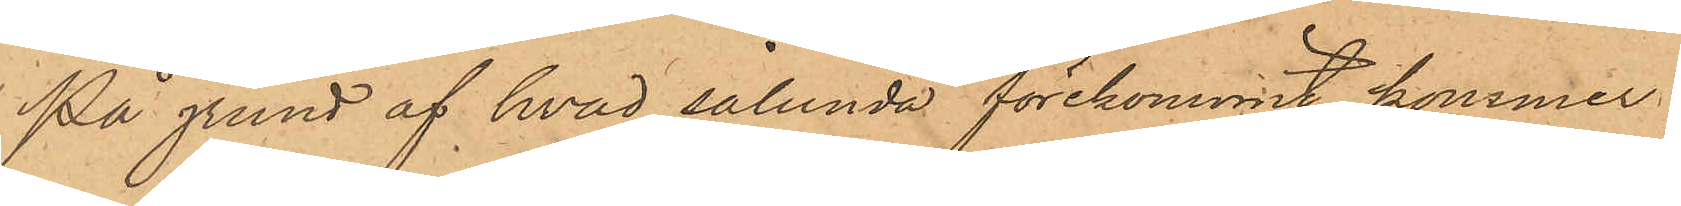På grund af hvad sålunda förekommit kommer
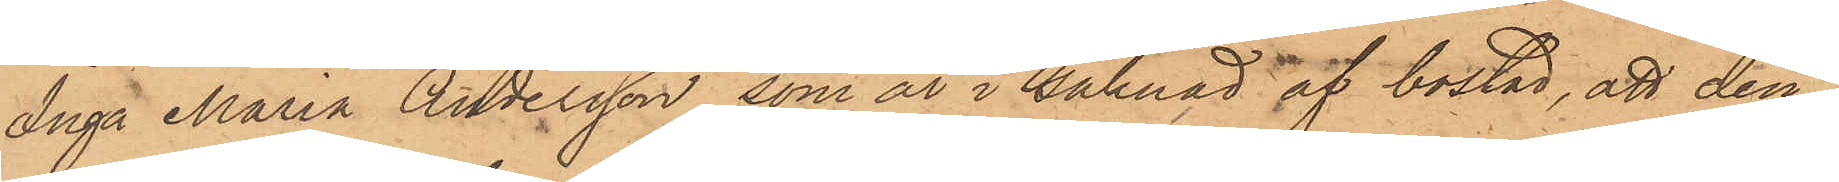Inga Maria Andersson, som är i saknad af bostad, att den¬
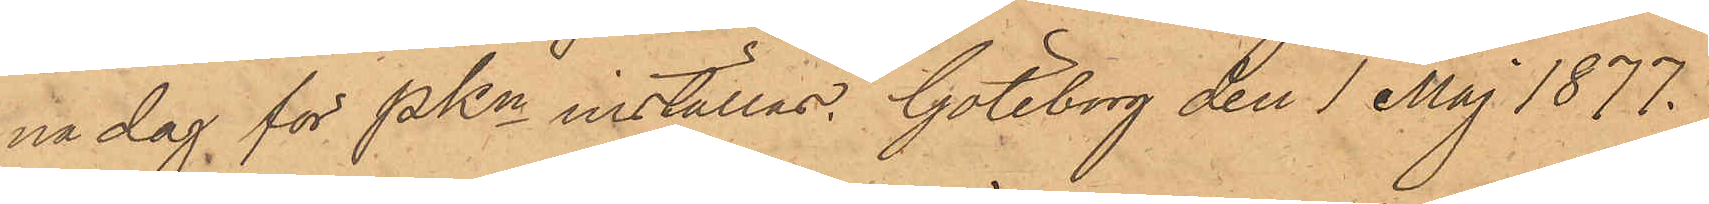na dag för PKn inställas. Göteborg den 1 Maj 1877.
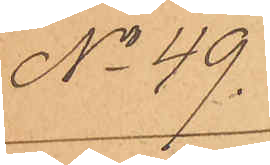No 49.
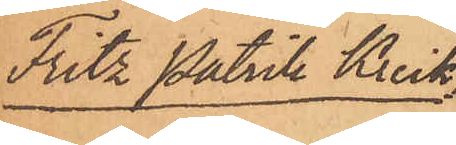Fritz Patrik Krick¬
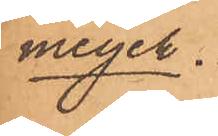meyer.
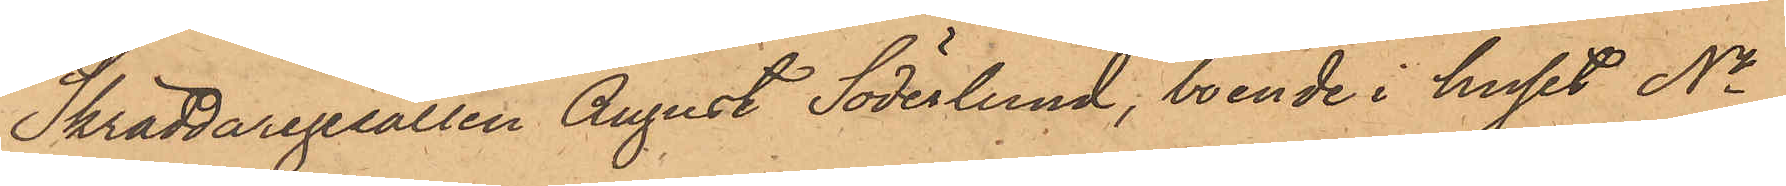Skräddaregesällen August Söderlund, boende i huset No
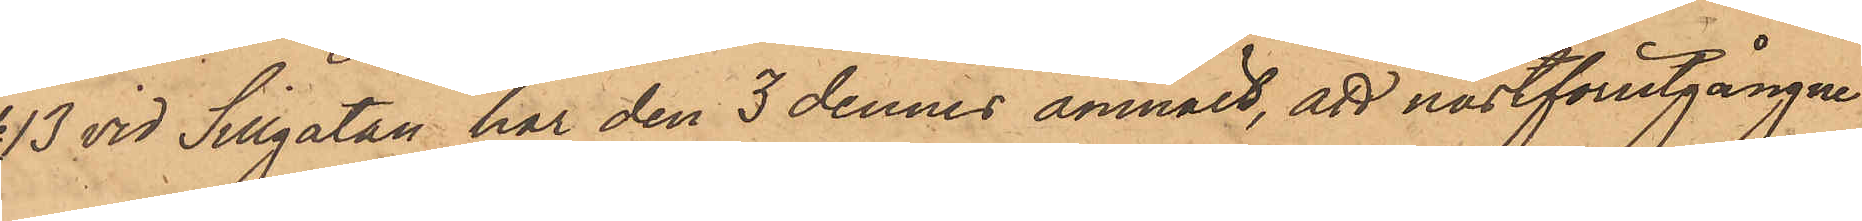13 vid Sillgatan har den 3 dennes anmält, att nästförutgångne
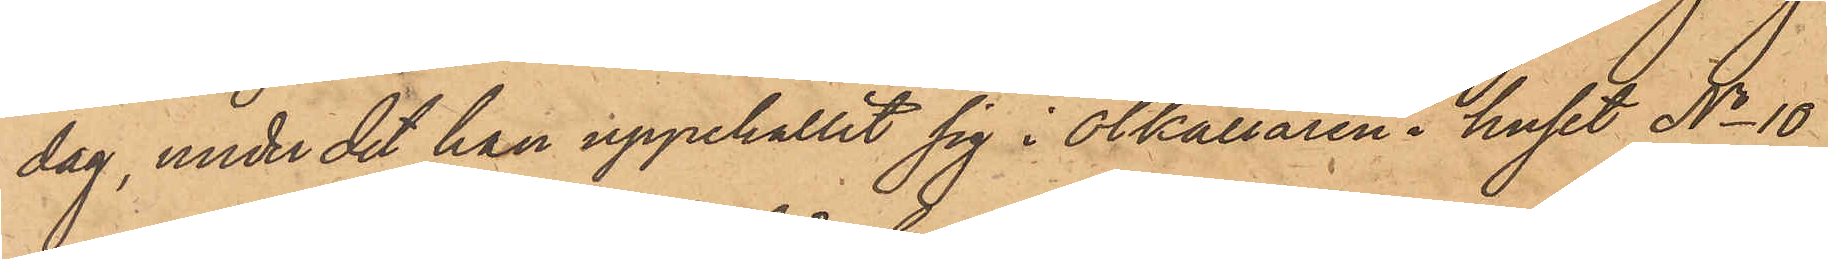dag, under det han uppehållit sig i ölkällaren i huset No 10
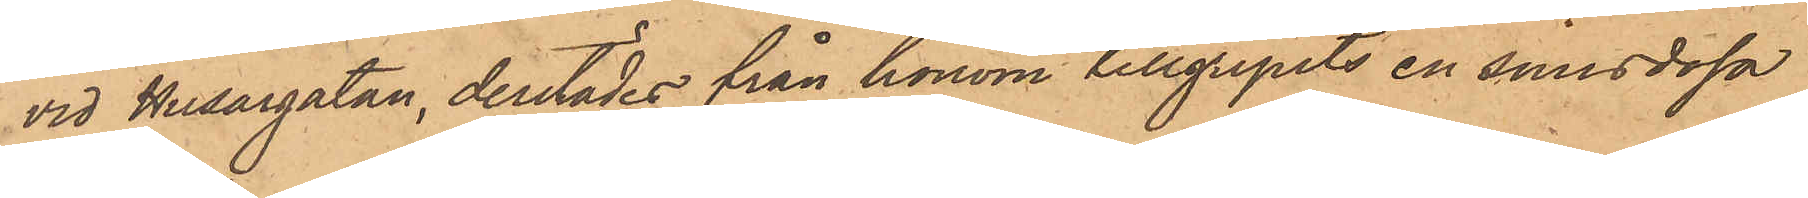vid Husargatan, derstädes från honom tillgripits en snusdosa
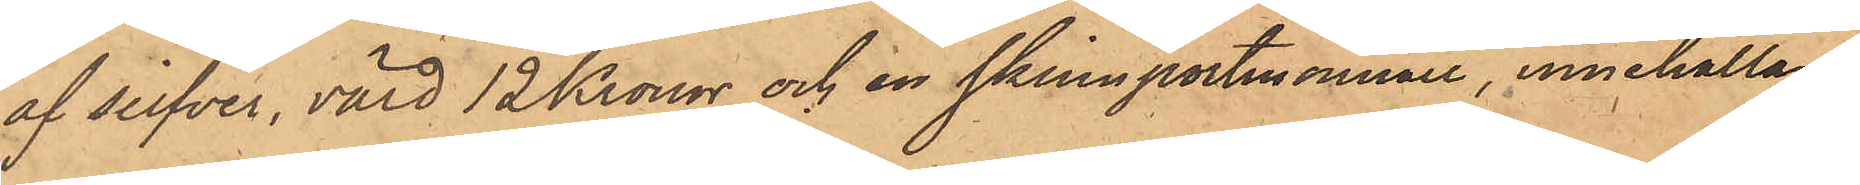af silfver, värd 12 Kronor och en skinnportmonnaie, innehållan¬
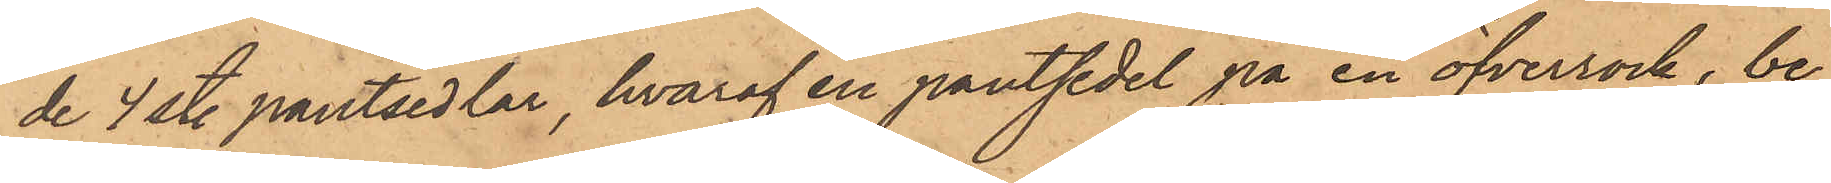de 4 st. pantsedlar, hvaraf en pantsedel på en öfverrock, be¬
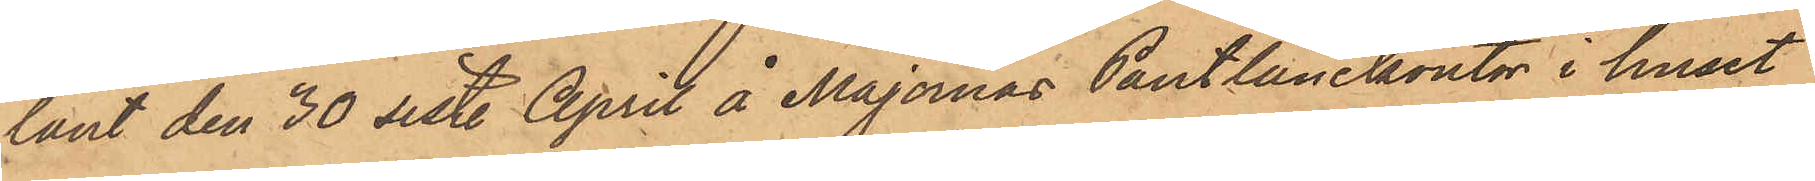lånt den 30 sist. April å Majornas Pantlånekontor i huset
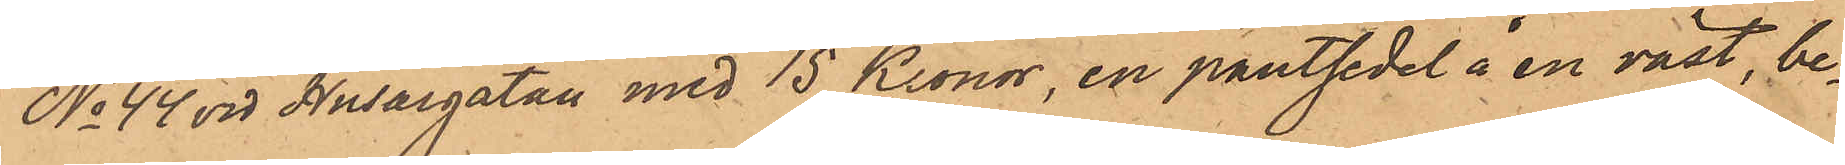No 44 vid Husargatan med 15 Kronor, en pantsedel å en väst, be¬
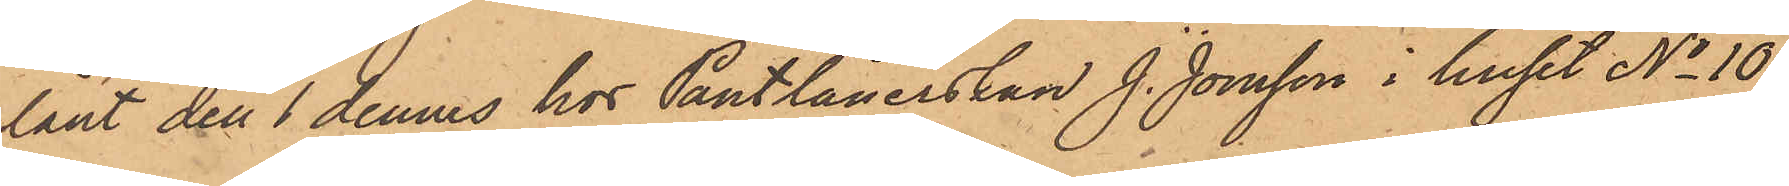lånt den 1 dennes hos Pantlånerskan J. Jonsson i huset No 10
